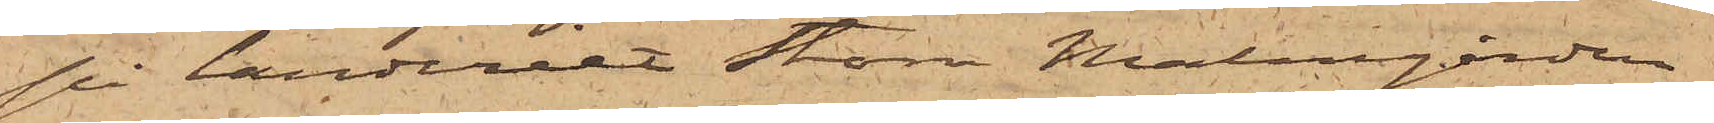på landeriet Stora Malmgården
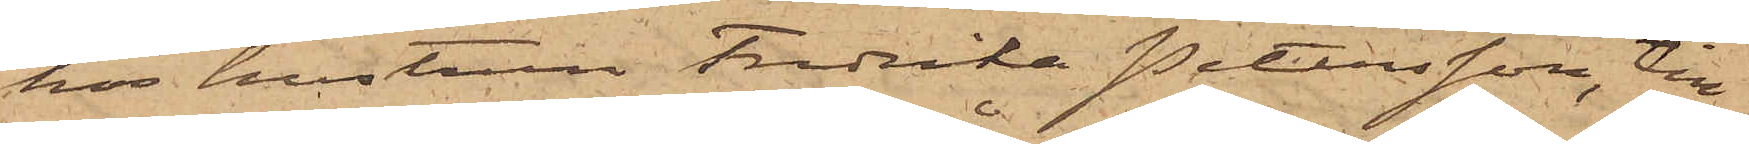hos hustrun Fredrika Petersson, till
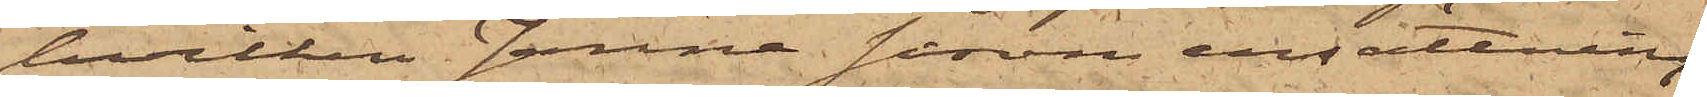hvilken Janne såsom ersättning
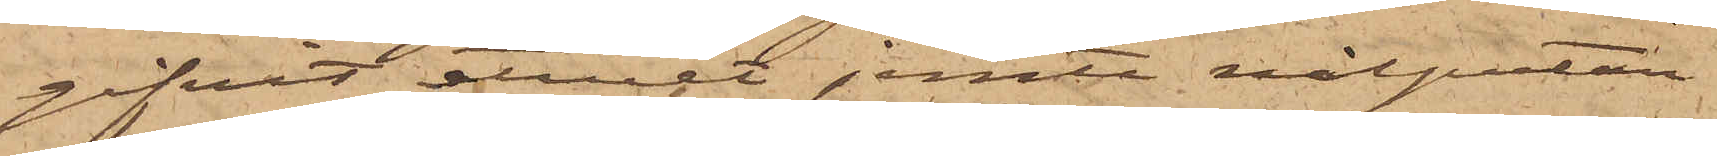gifvit etuiet jemte nålputan
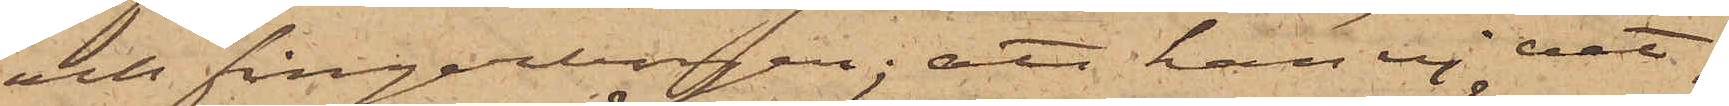och fingerborgen; att han ej vet,
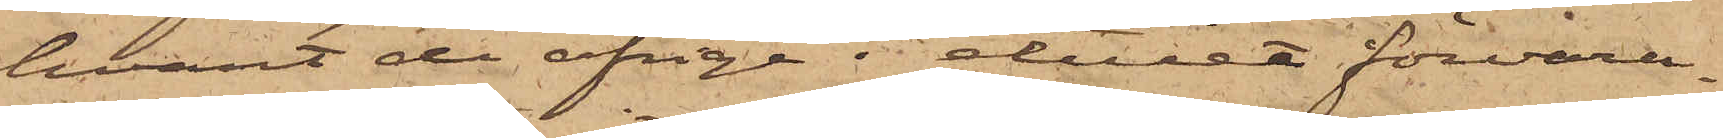hvart de öfrige i etuiet förvara¬
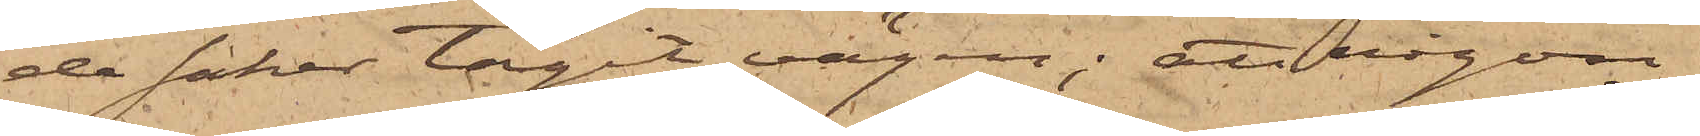de saker tagit vägen; att någon
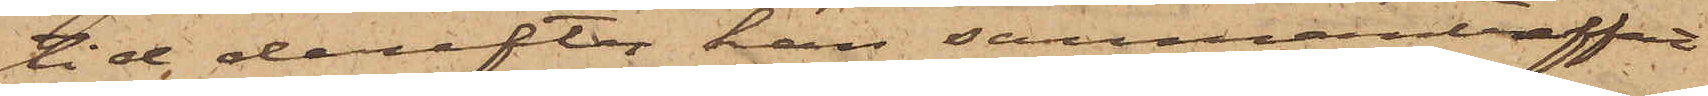tid derefter han sammanträffat
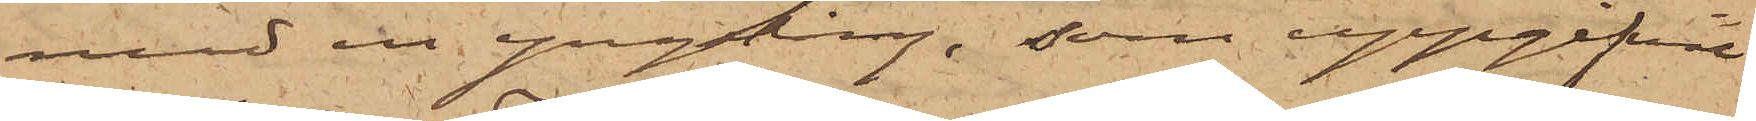med en yngling, som uppgifvit
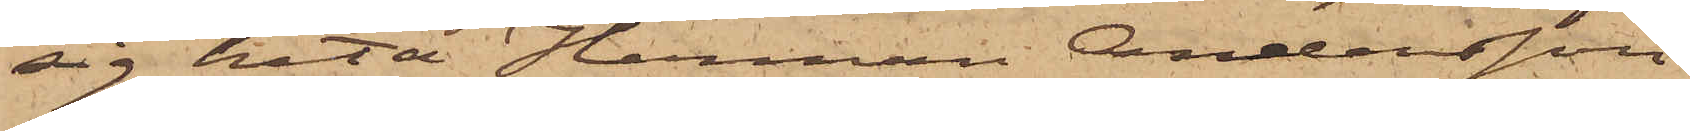sig heta Herman Andersson
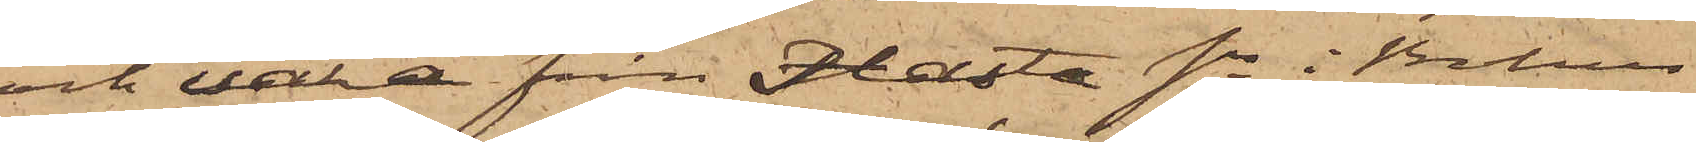och vara från Holta sn i Bohus
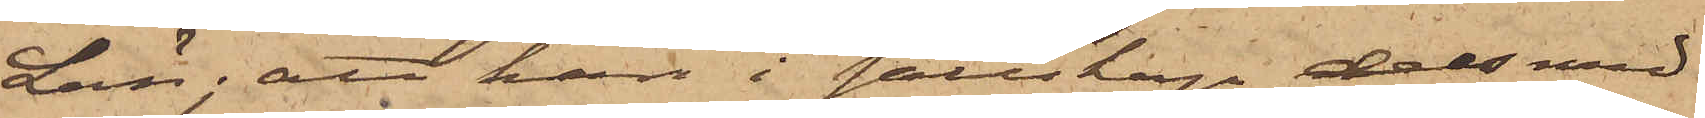Län; att han i sällskap dels med
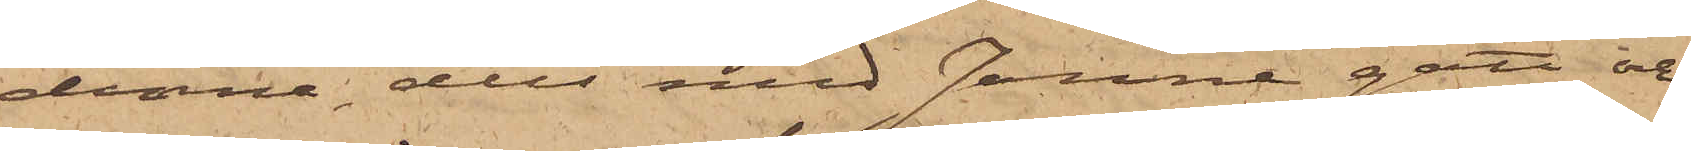denne dels med Janne gått och
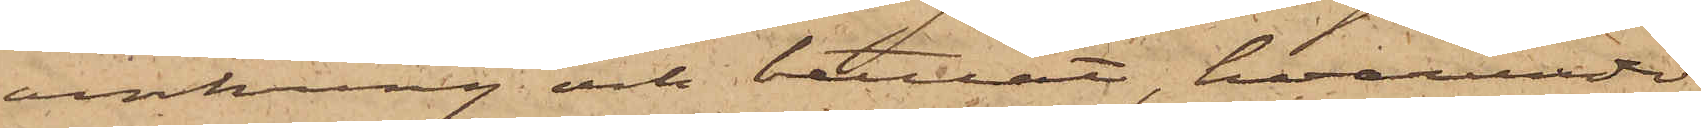omkring och bettlat, hvarunder
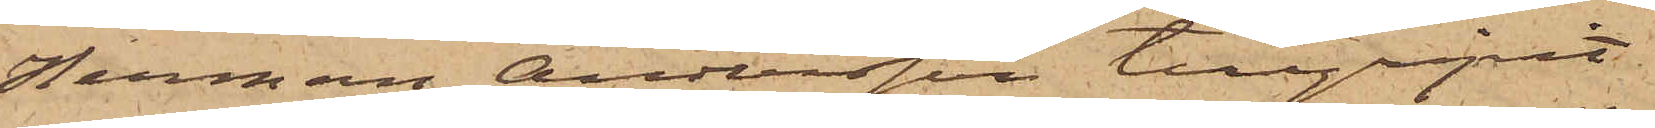Herman Andersson tillgripit
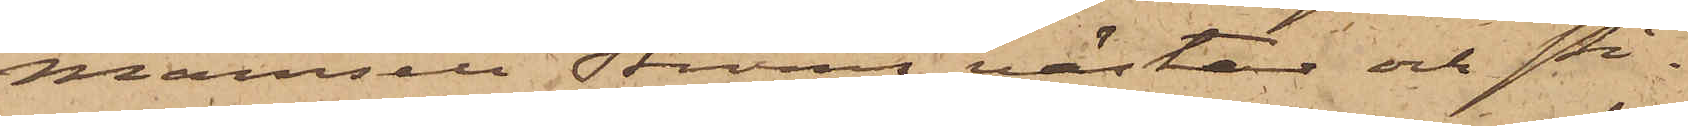Mamsell Ströms västar och Pi¬
